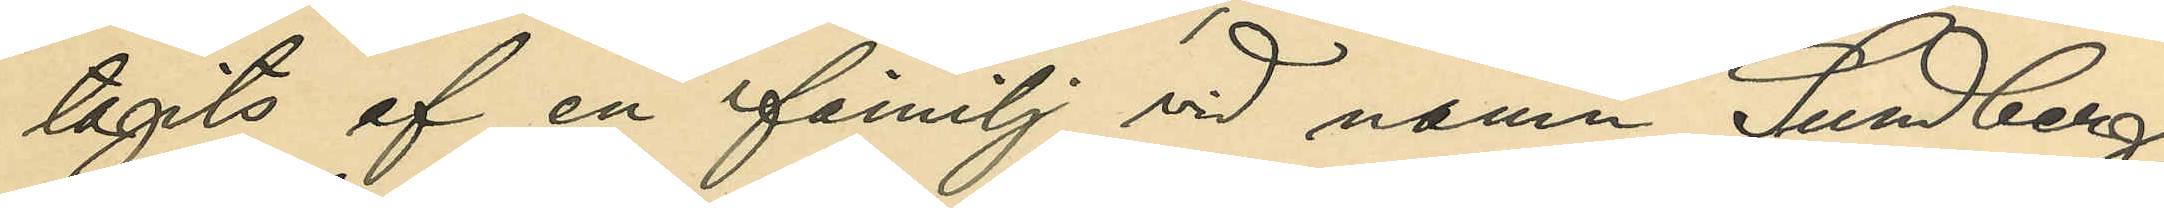tagits af en familj vid namn Sundberg,
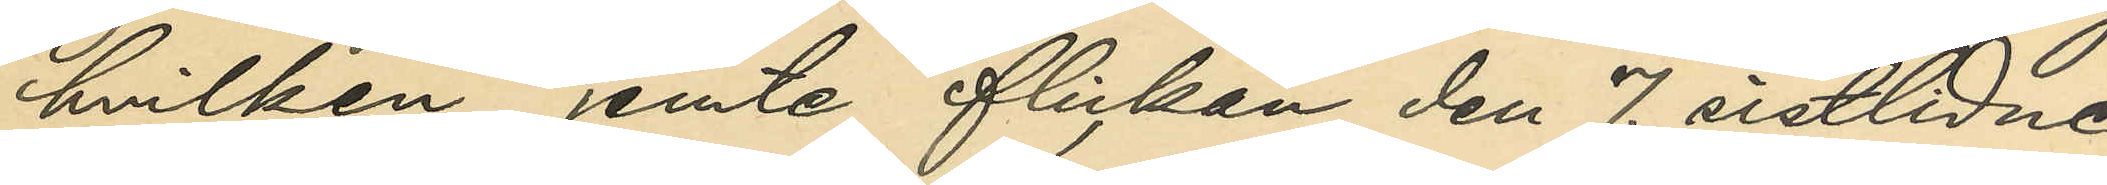hvilken jemte flickan den 7. sistlidne
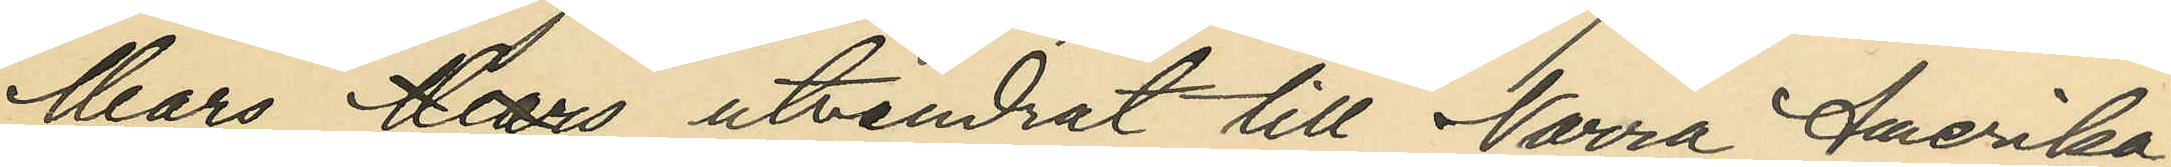Mars Mars utvandrat till Norra Amerika;
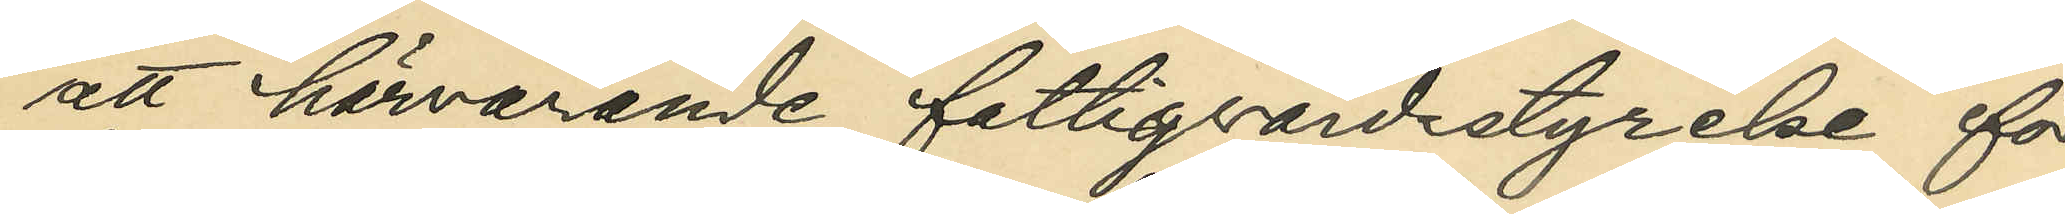att härvarande fattigvårdsstyrelse för
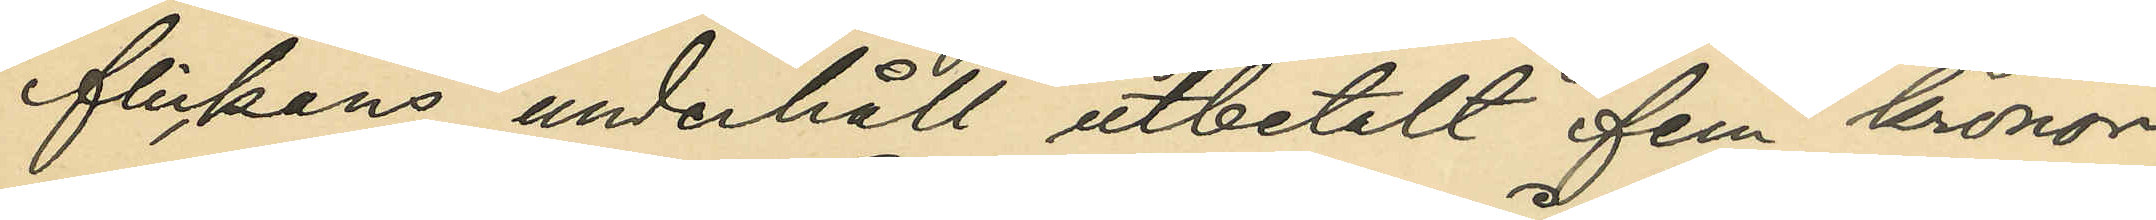flickans underhåll utbetalt fem kronor
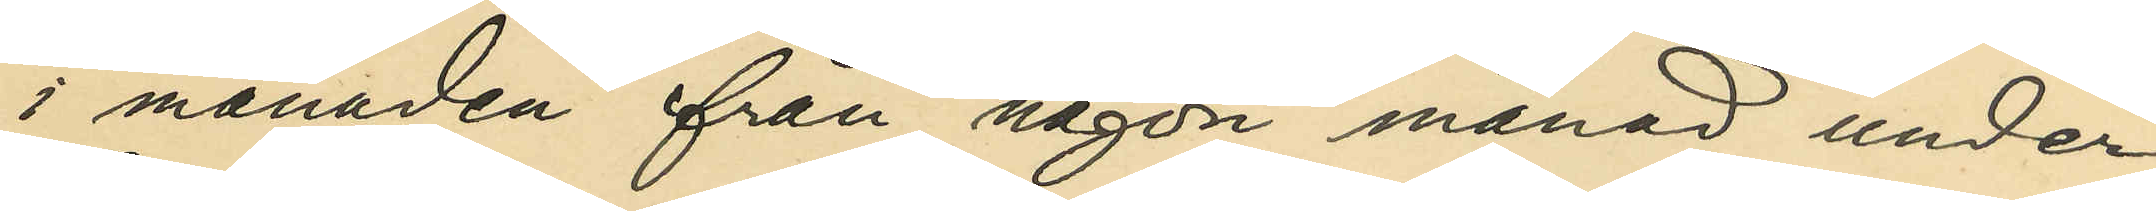i månaden från någon månad under
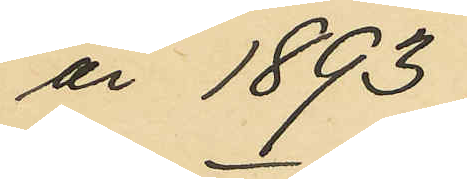år 1893;
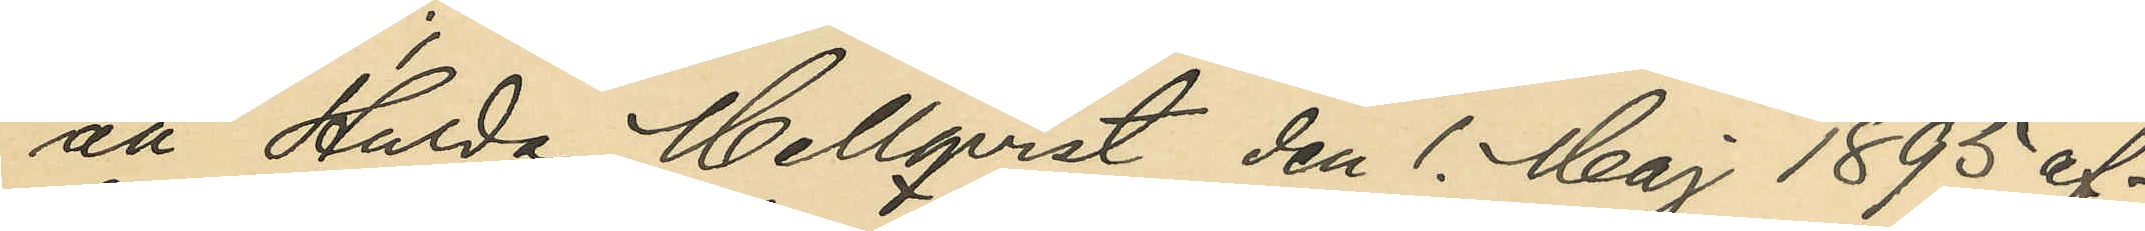att Hulda Mellqvist den 1. Maj 1895 af¬
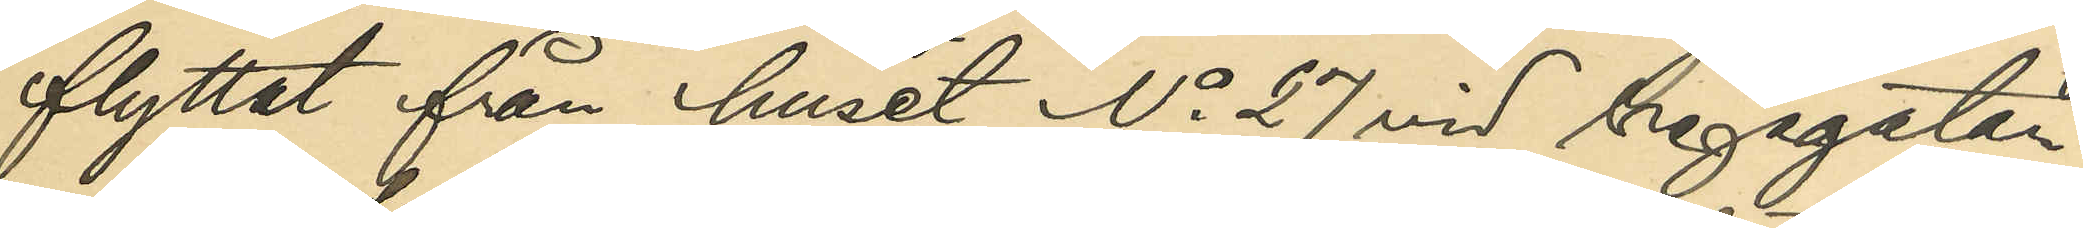flyttat från huset No 27 vid Vegagatan;
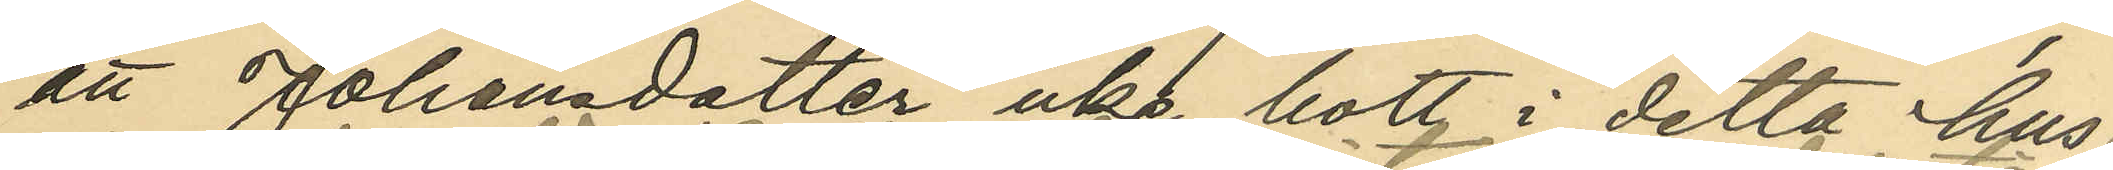att Johansdotter icke bott i detta hus
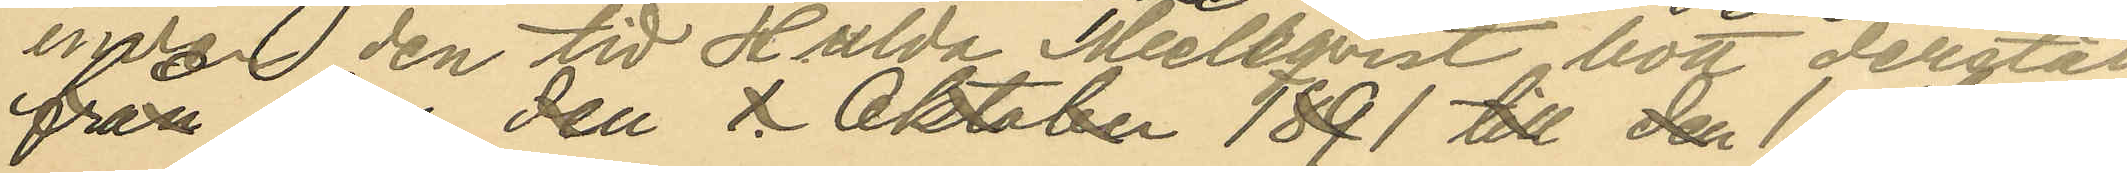under den tid Hulda Mellqvist bott derstädes.
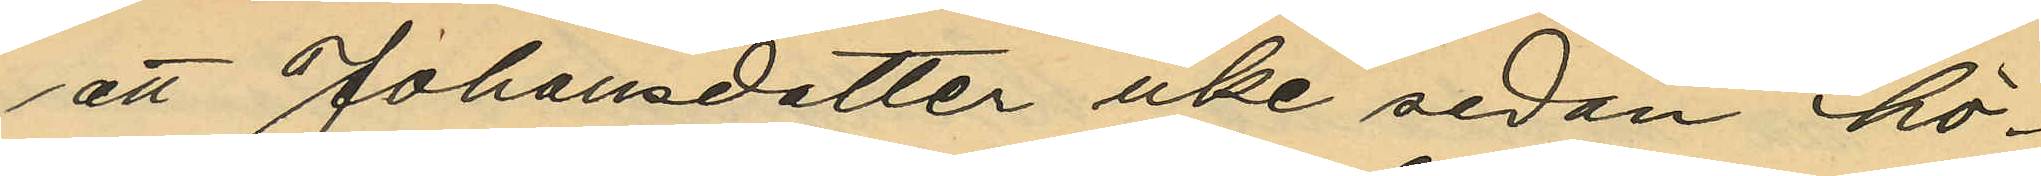att Johansdotter icke sedan hö¬
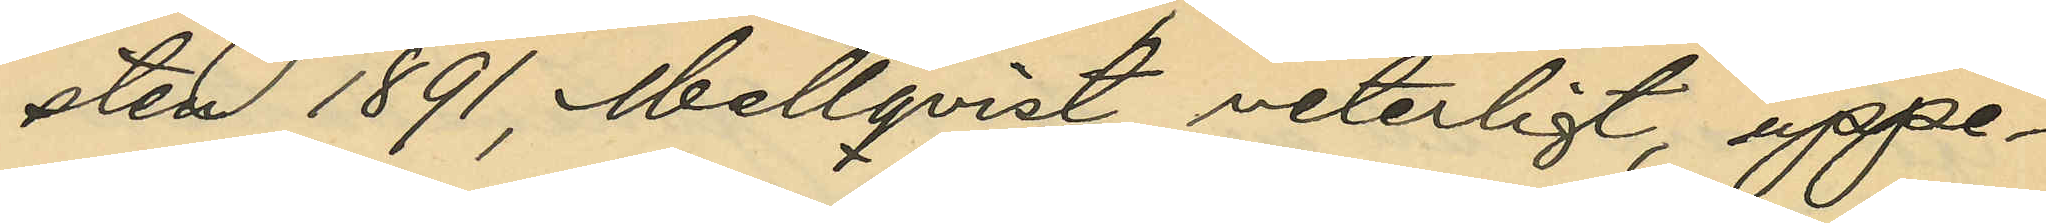sten 1891, Mellqvist veterligt, uppe¬
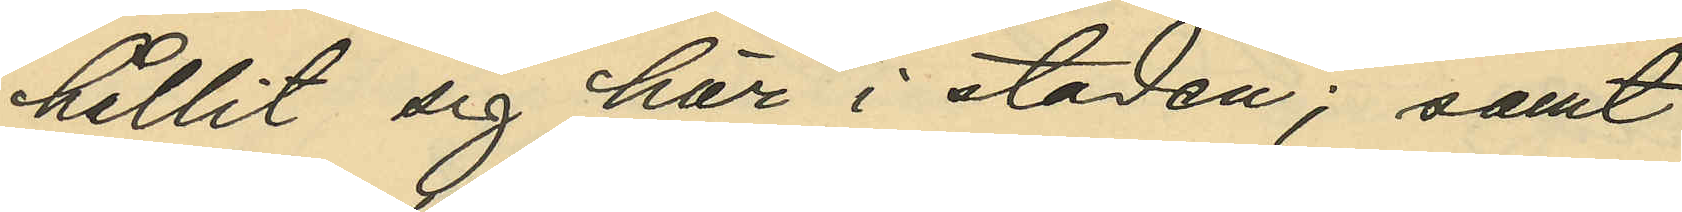hållit sig här i staden; samt
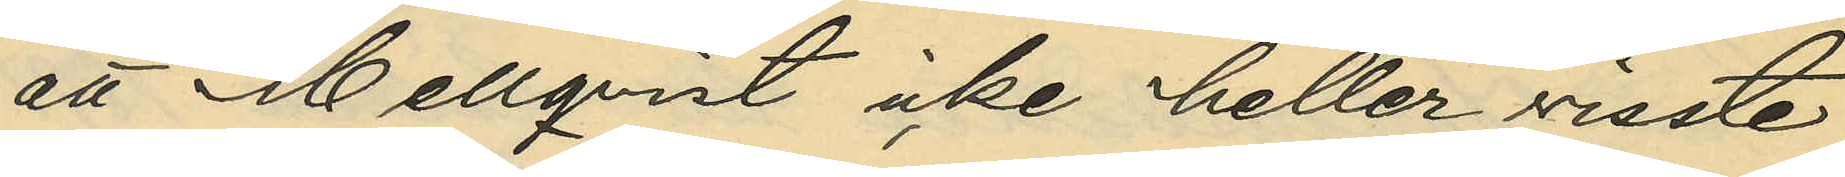att Mellqvist icke heller visste
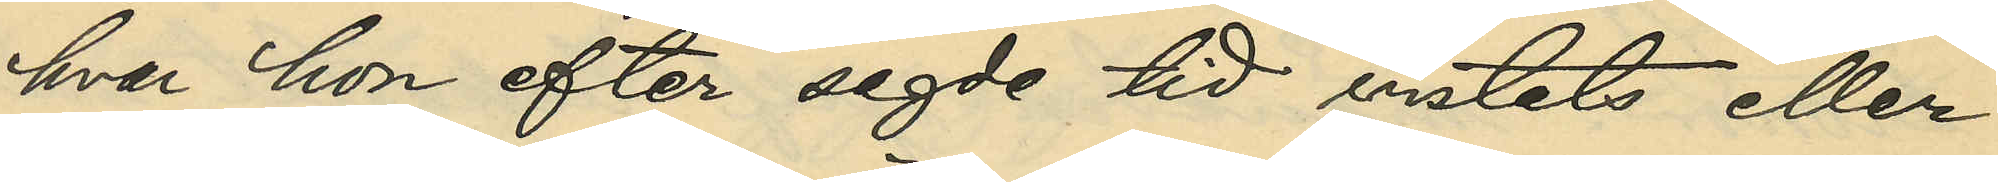hvar hon efter sagde tid vistats eller
